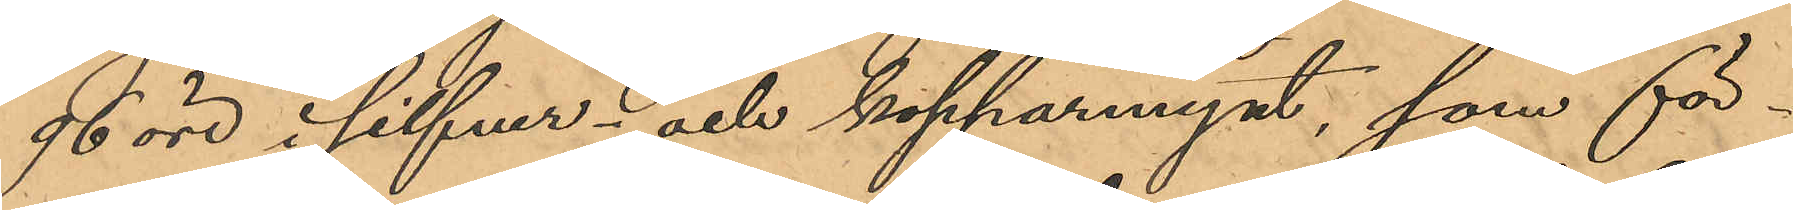96 öre i silfver och kopparmynt, som för¬
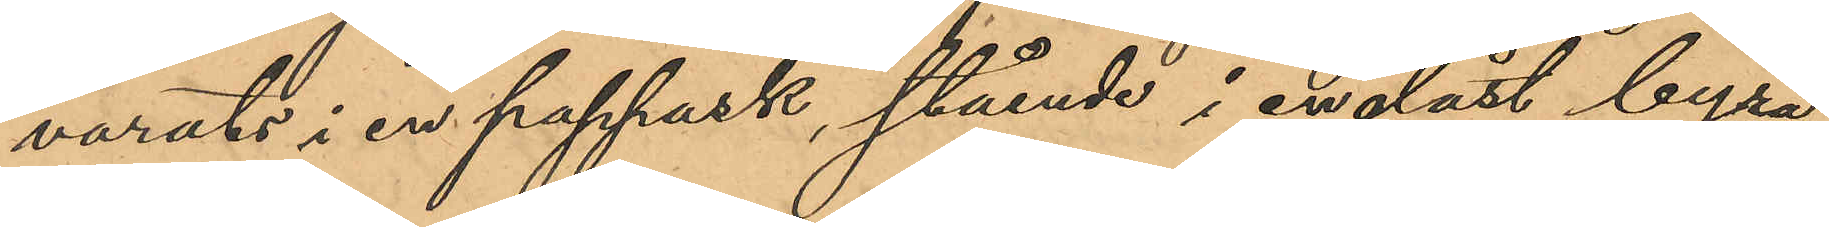varats i en pappask, stående i en olåst byrå¬
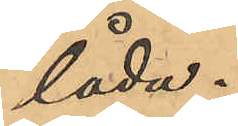låda.
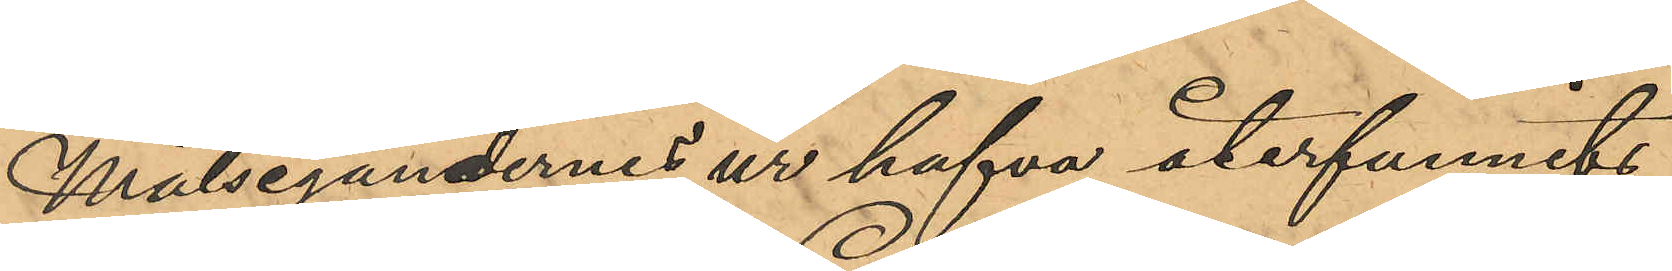Målsegandernes ur hafva återfunnits
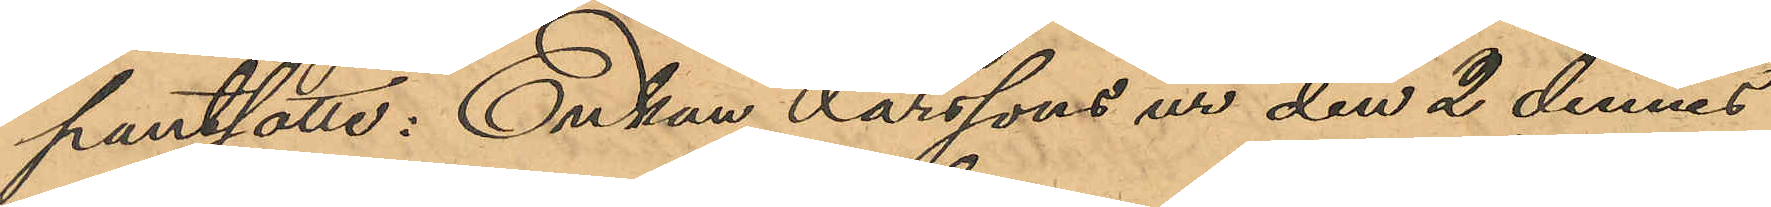pantsatte: Enkan Larssons ur den 2 dennes
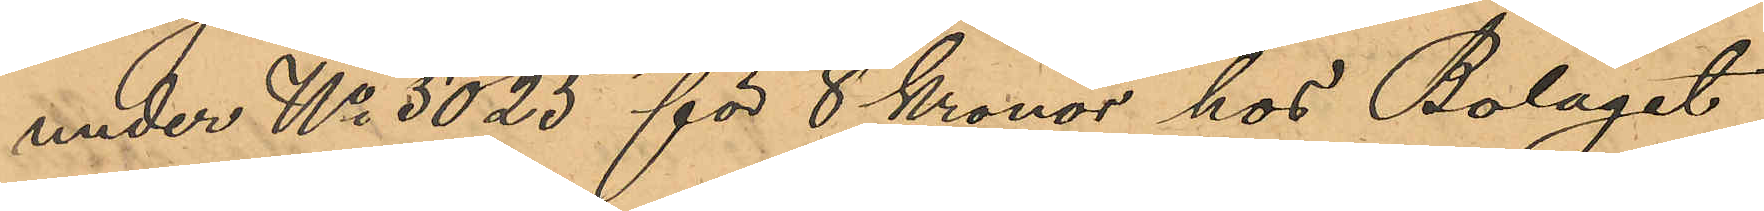under No 5025 för 8 Kronor hos Bolaget
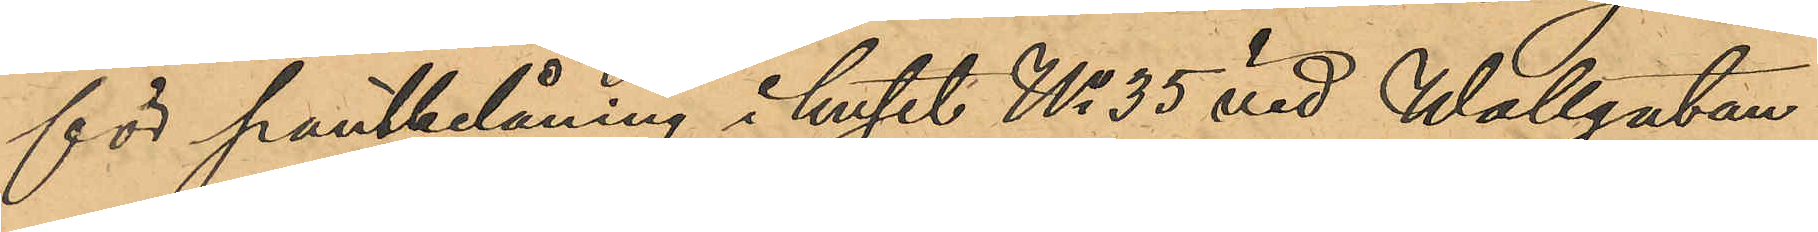för pantbelåning i huset No 35 vid Wallgatan
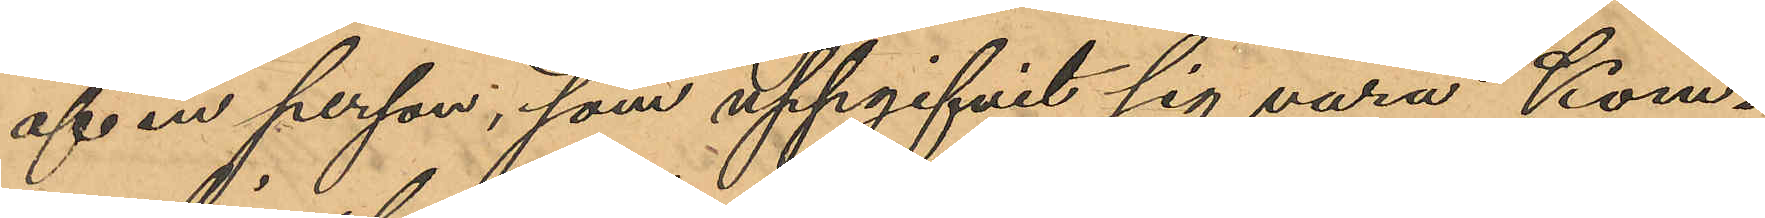af en person, som uppgifvit sig vara Kom¬
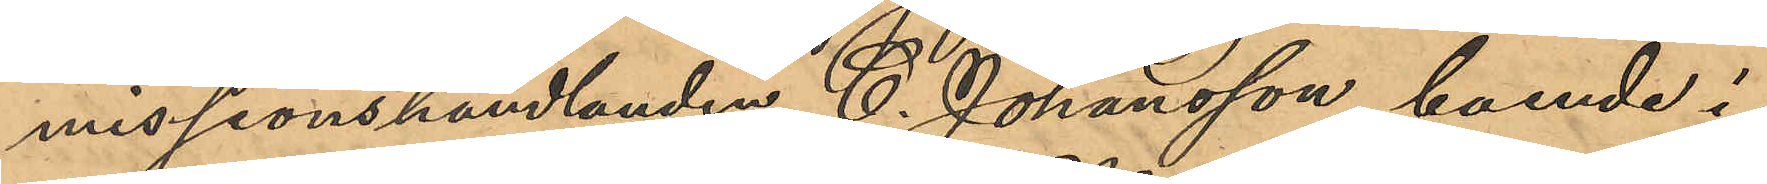missionshandlanden C. Johansson, boende i
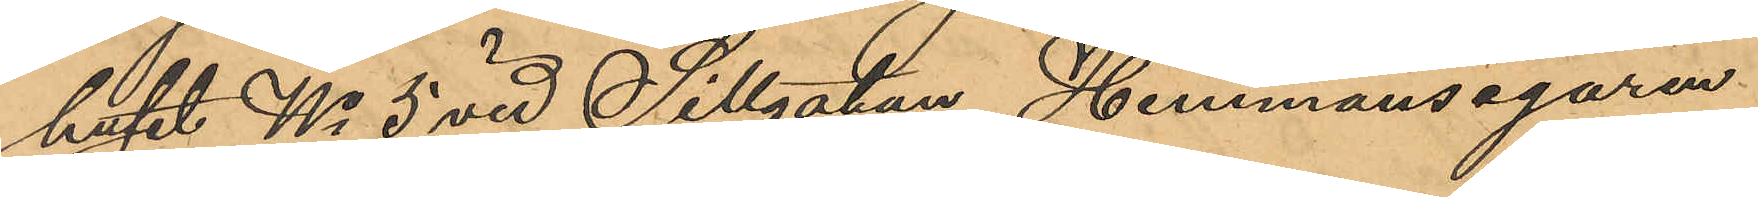huset No 5 vid Sillgatan, Hemmansegaren
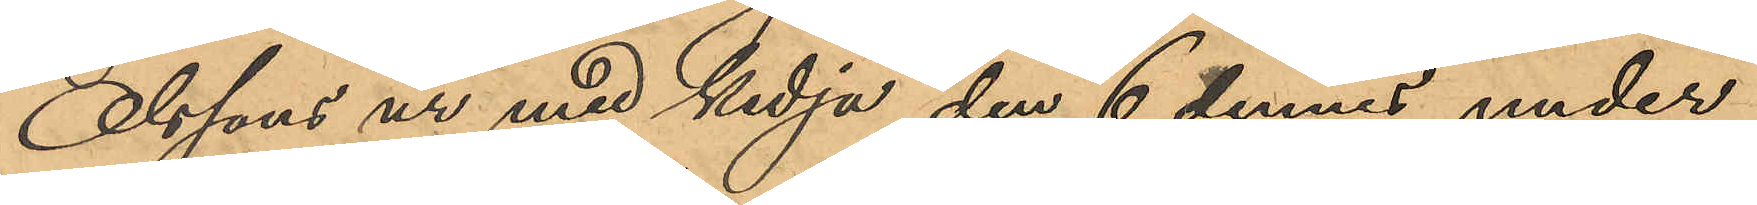Olssons ur med kedja den 6 dennes under
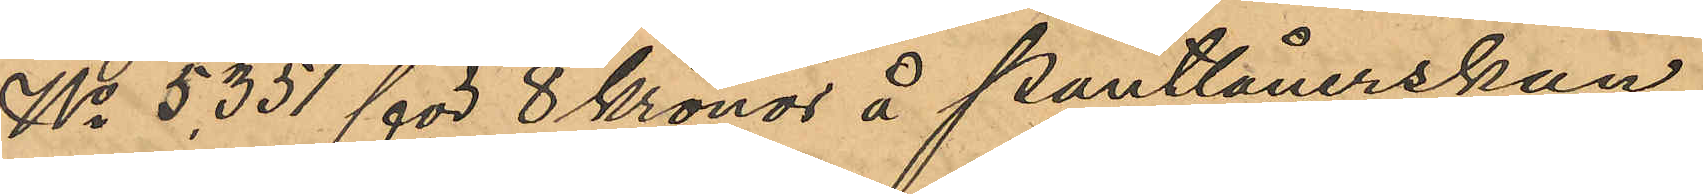No 5,351 för 8 Kronor å Pantlånerskan
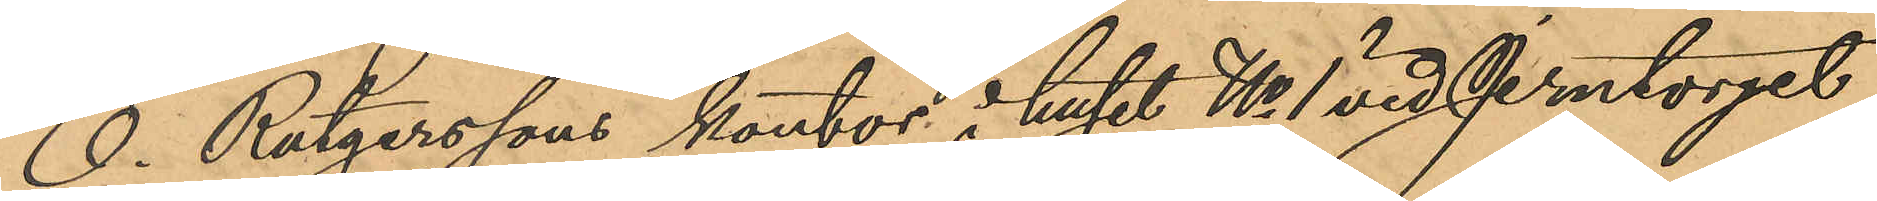O. Rutgerssons kontor i huset No 1 vid Jerntorget
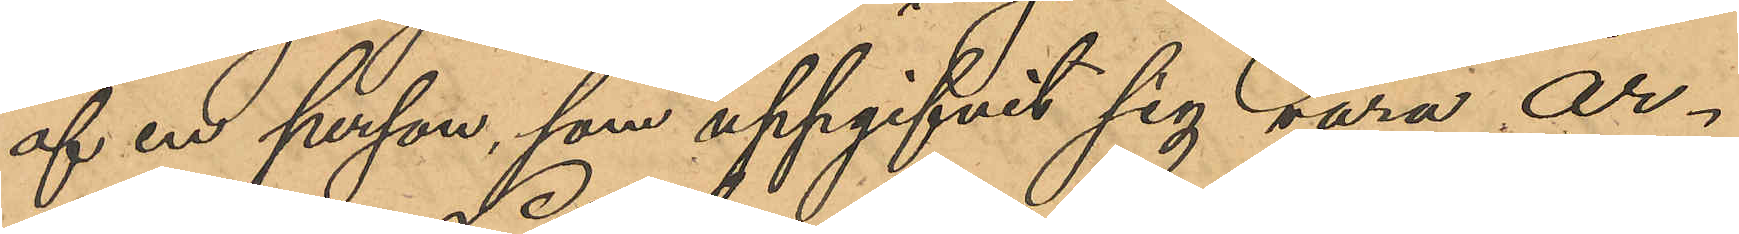af en person, som uppgifvit sig vara ar¬
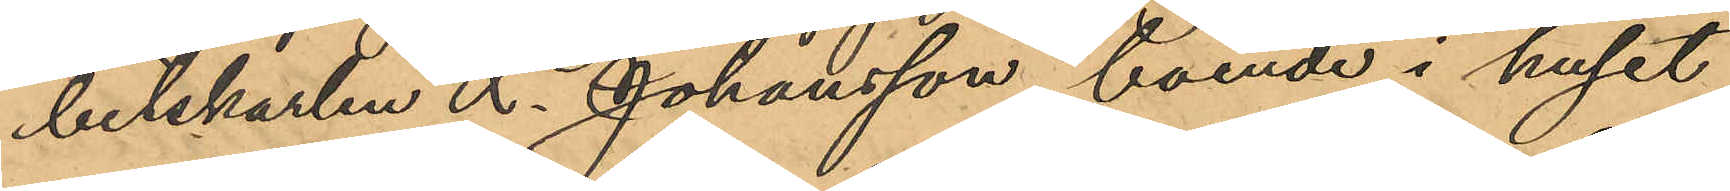betskarlen L. Johansson, boende i huset
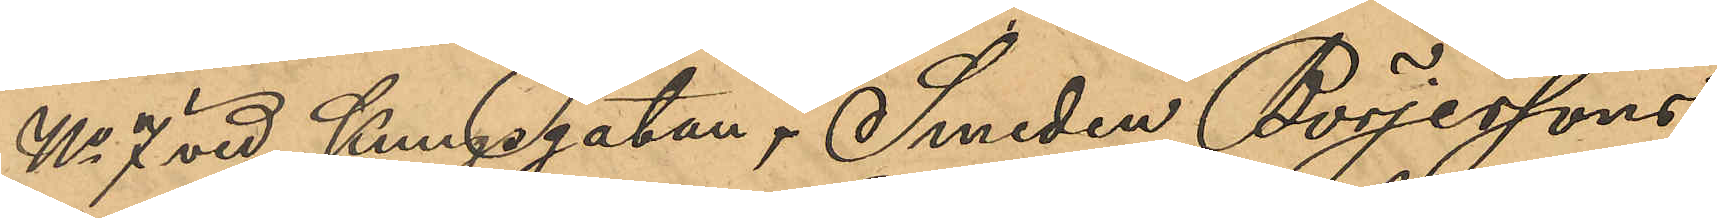No 7 vid Kungsgatan, Smeden Börjessons
